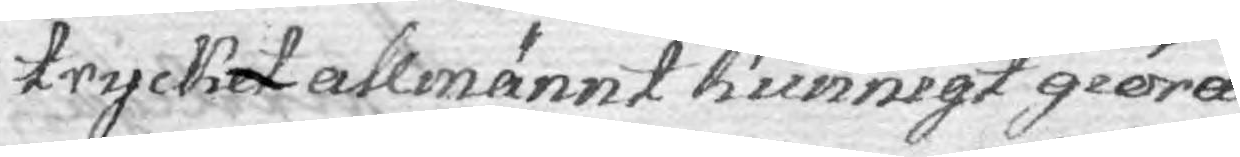trycket allmännt kunnigt giöra
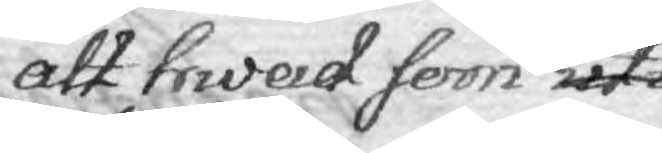att hwad som uti
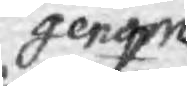genom
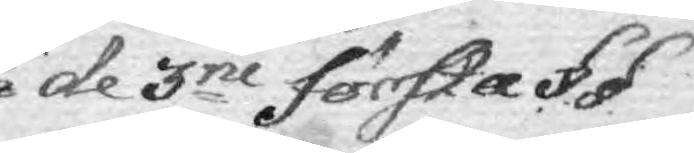de 3ne första §.§.
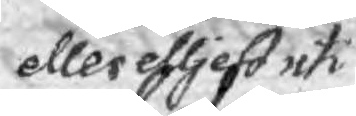eller eljest uti
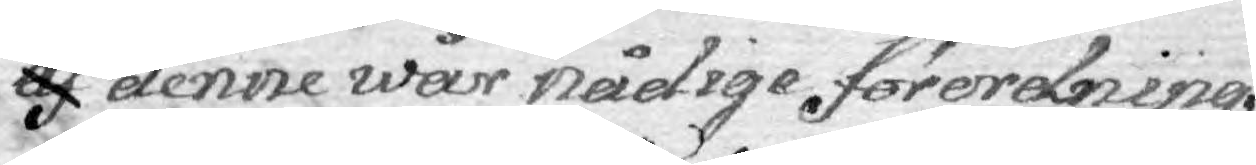af denne wår nådige förordning
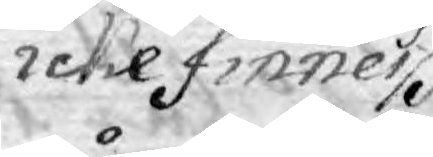icke finner
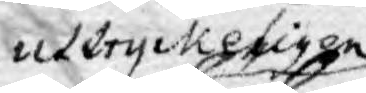uttryckeligen
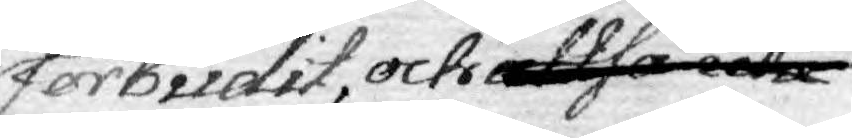forbudit, och altså 
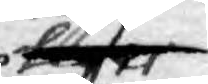lr
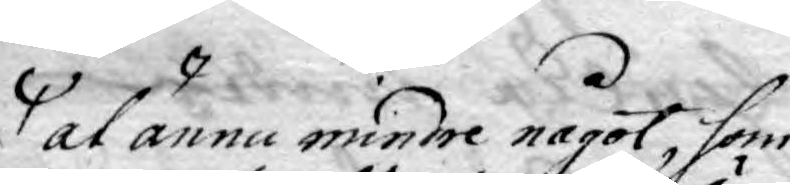at ännu mindre något, som
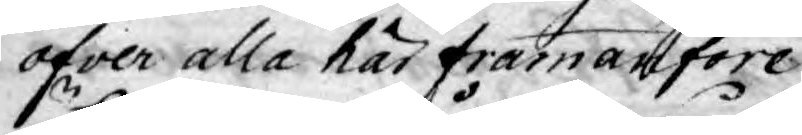öfver alla här framanföre
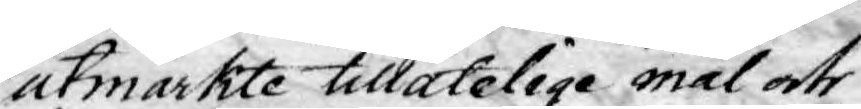utmärkte tillåtelige mål och
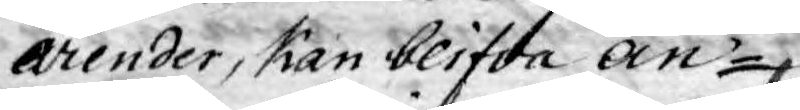ärender, kan blifva an¬
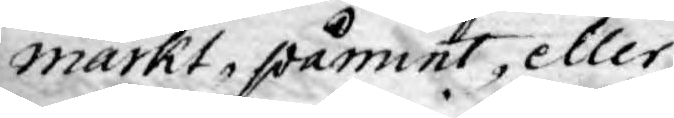märkt, påmint eller
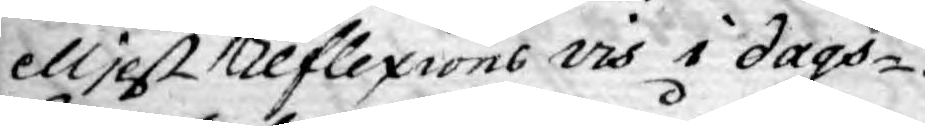eljest Reflexions vis i dags¬
